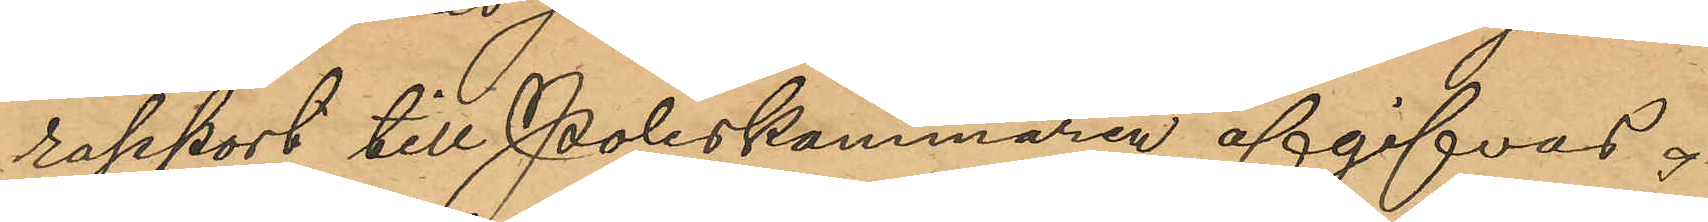rapport till Poliskammaren afgifvas.
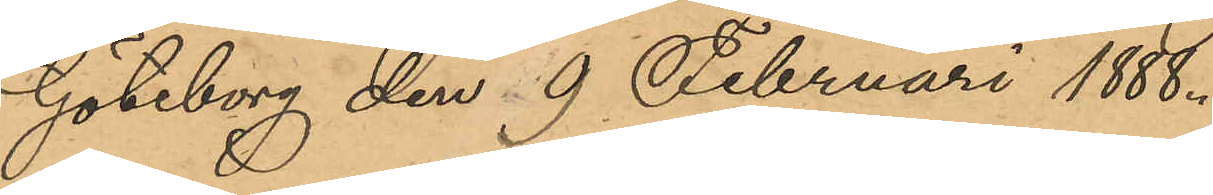Göteborg den 9 Februari 1888.
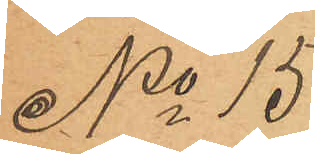No 15
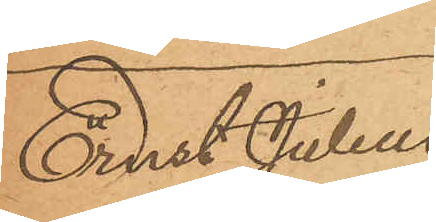Ernst Julius
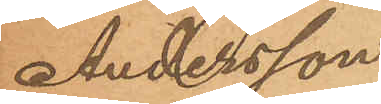Andersson
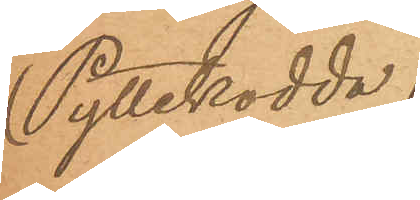(Pyttekodda)
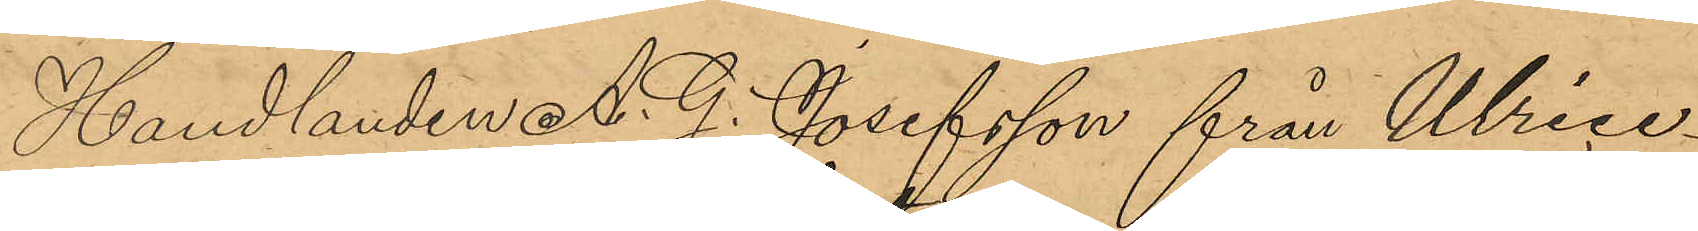Handlanden A. G. Josefsson från Ulrice¬
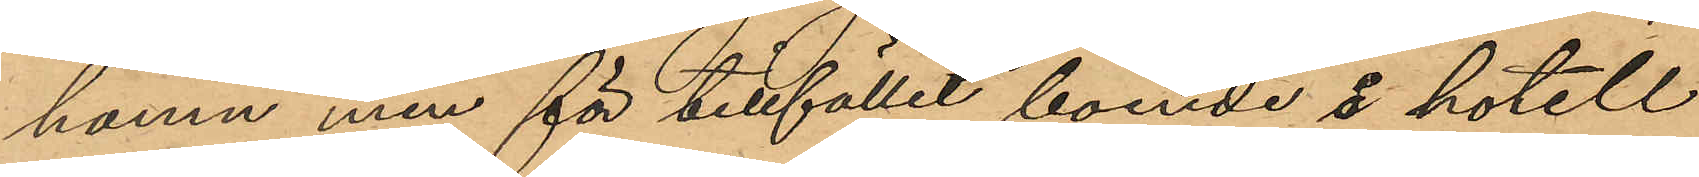hamn men för tillfället boende å hotell
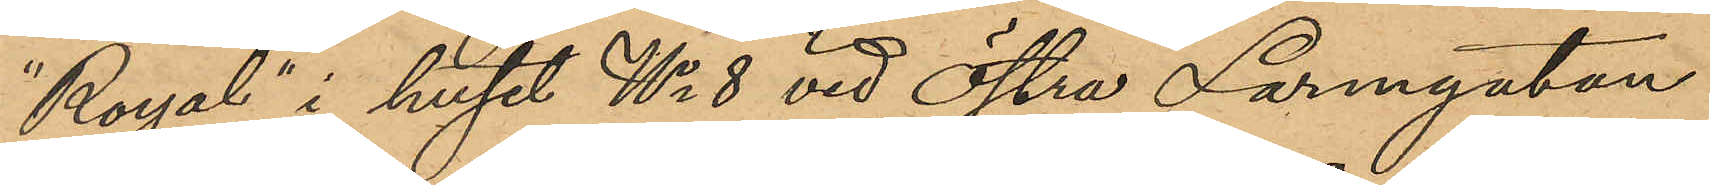"Royal" i huset No 8 vid Östra Larmgatan
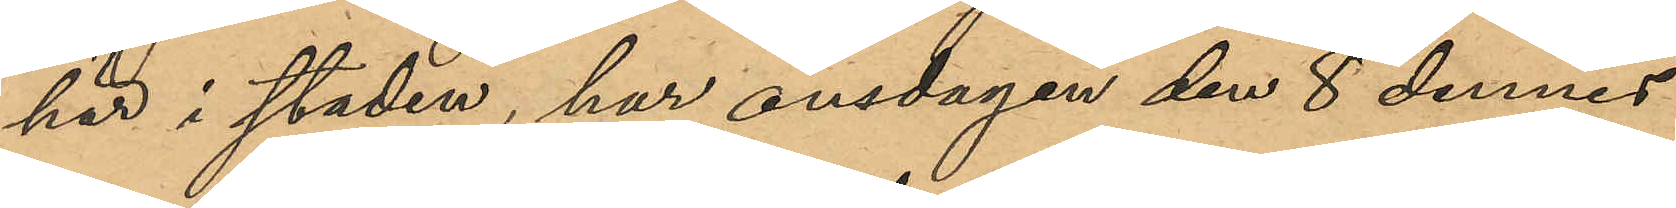här i staden, har onsdagen den 8 dennes
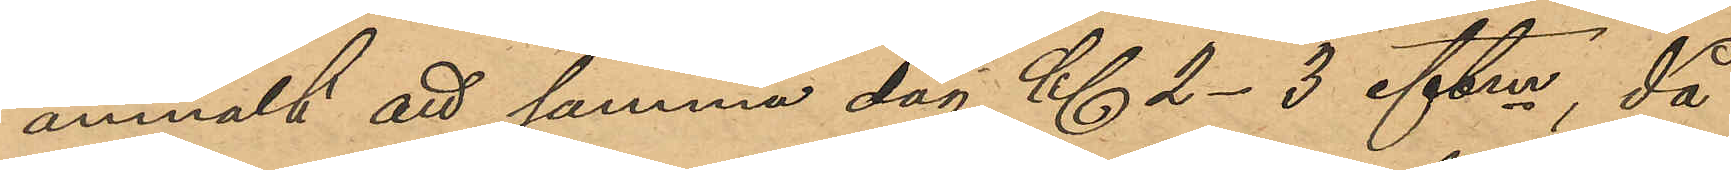anmält att samma dag Kl 2-3 eftm, då
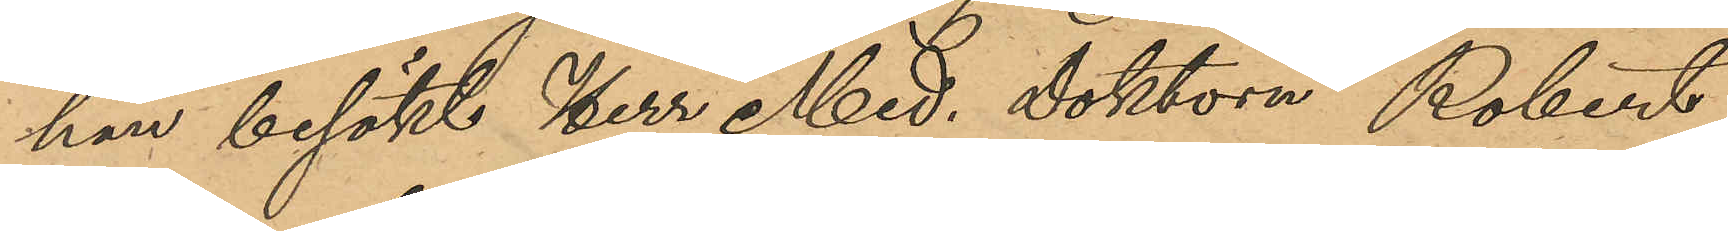han besökt Herr Med. Doktorn Robert
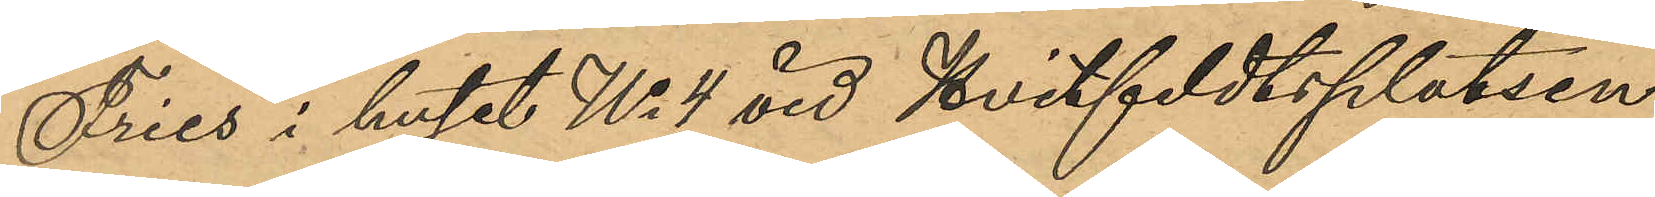Fries i huset No 4 vid Hvitfeldtsplatsen
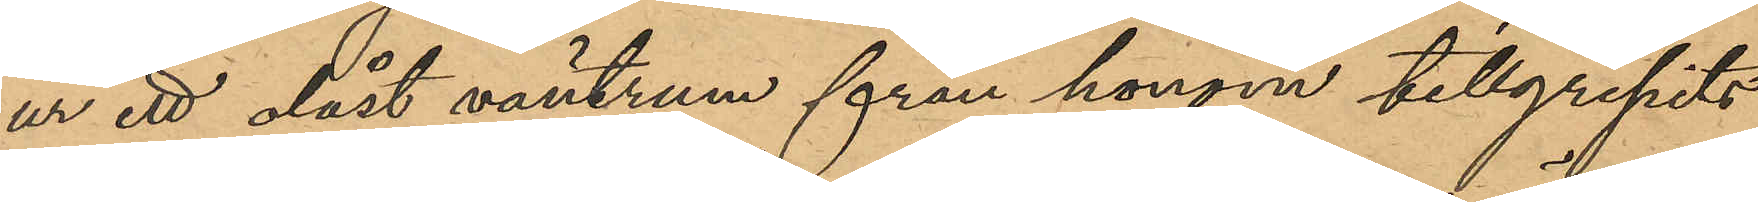ur ett olåst väntrum från honom tillgripits
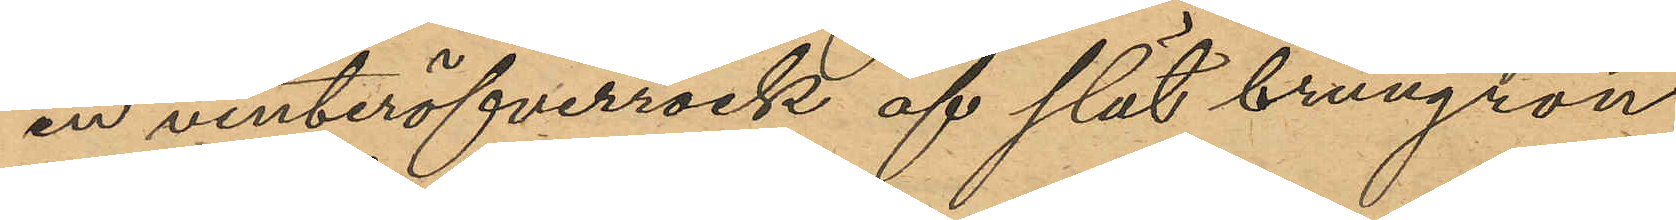en vinteröfverrock af slät brungrön
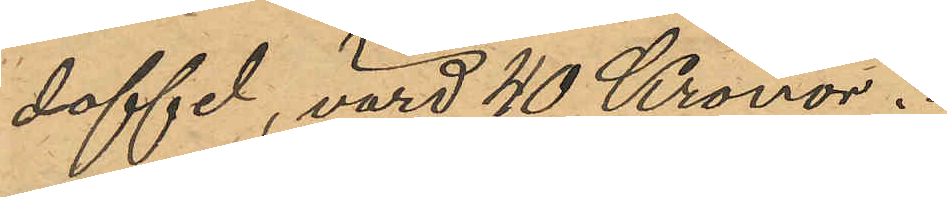doffel, värd 40 Kronor.
